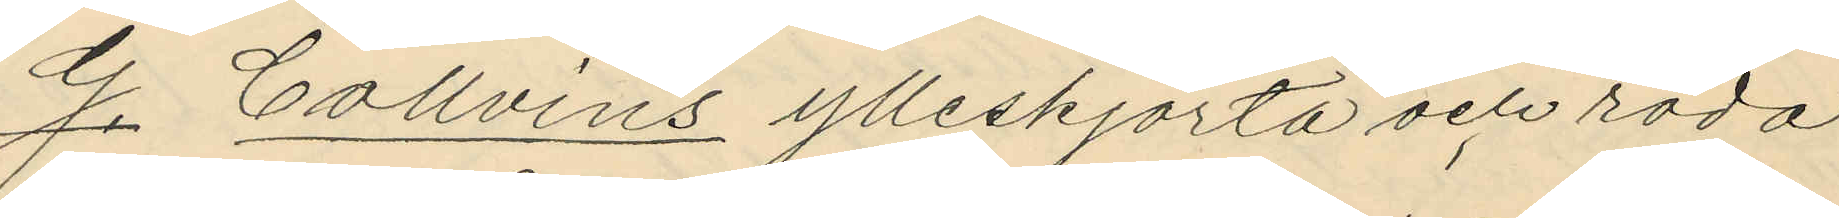G. Collvins ylleskjorta och röda
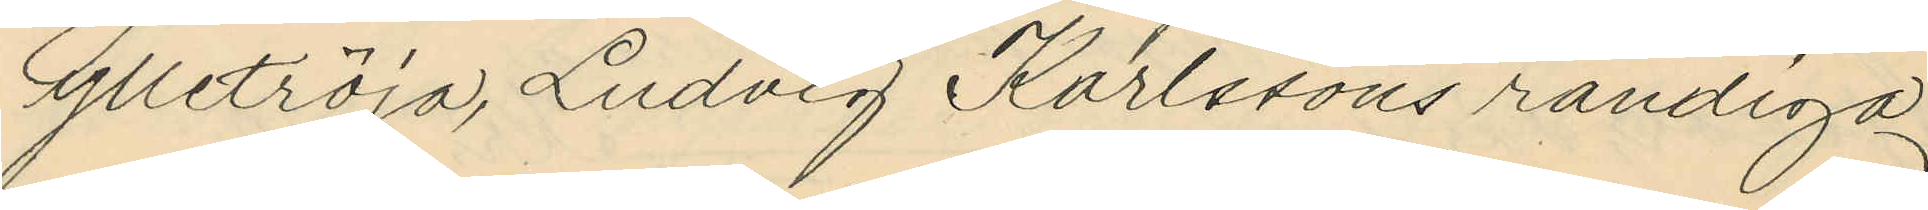ylletröja, Ludvig Karlssons randiga
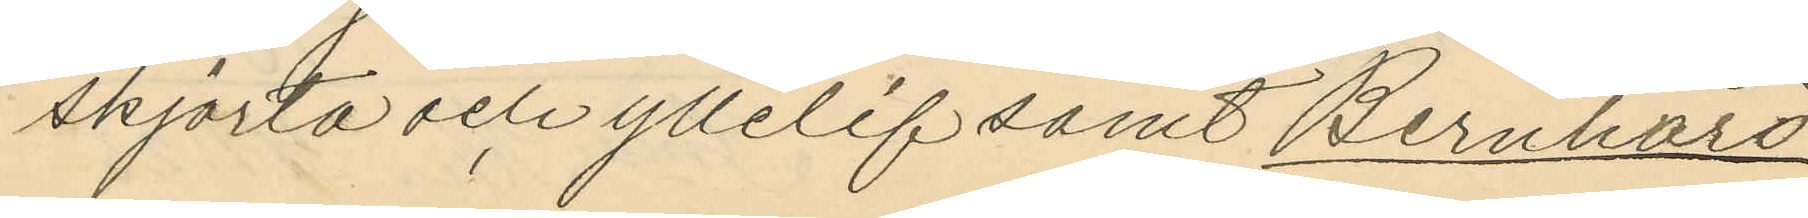skjorta och yllelif samt Bernhard
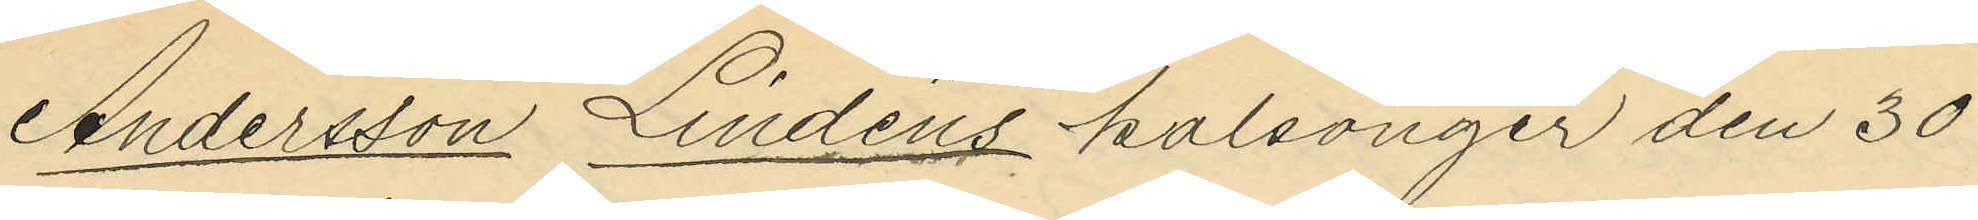Andersson Lindéns kalsonger den 30
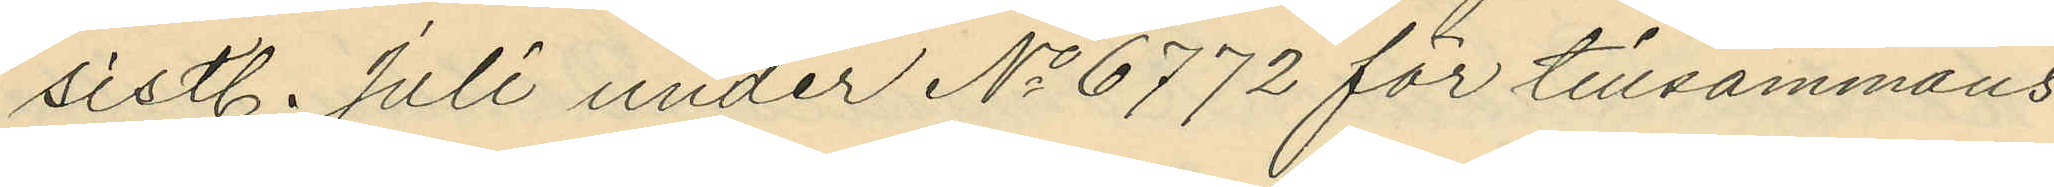sistl. Juli under No 6772 för tillsammans
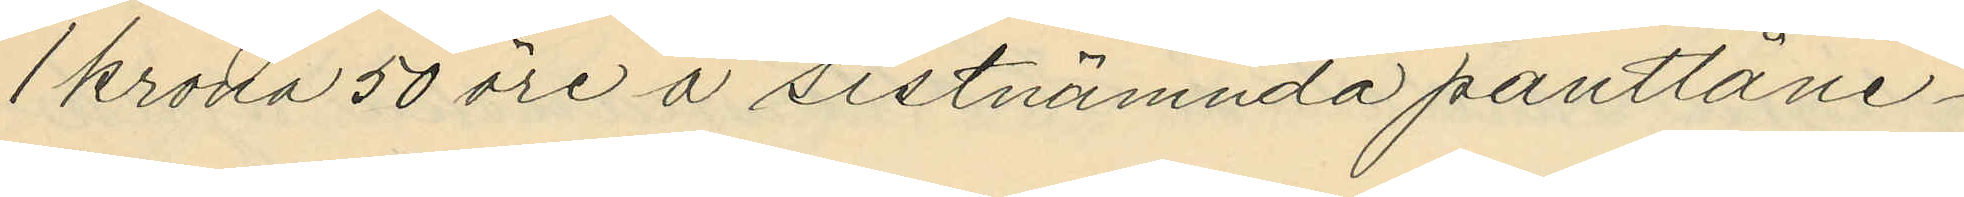1 krona 50 öre å sistnämnda pantlåne¬
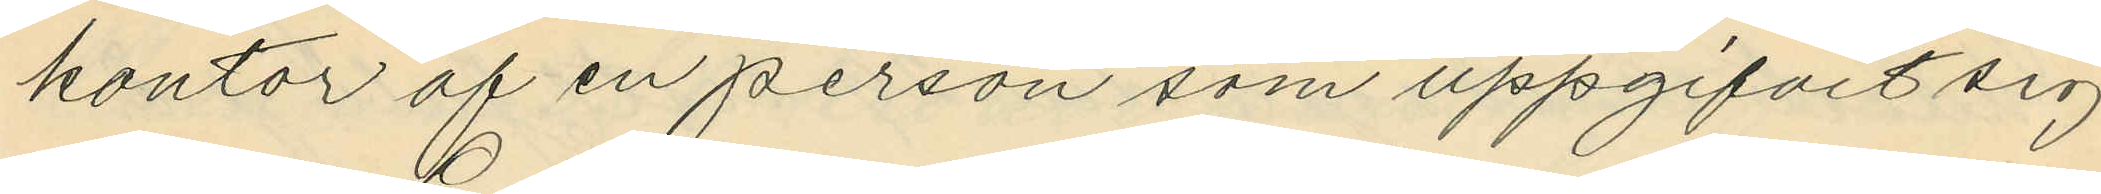kontor af en person som uppgifvit sig
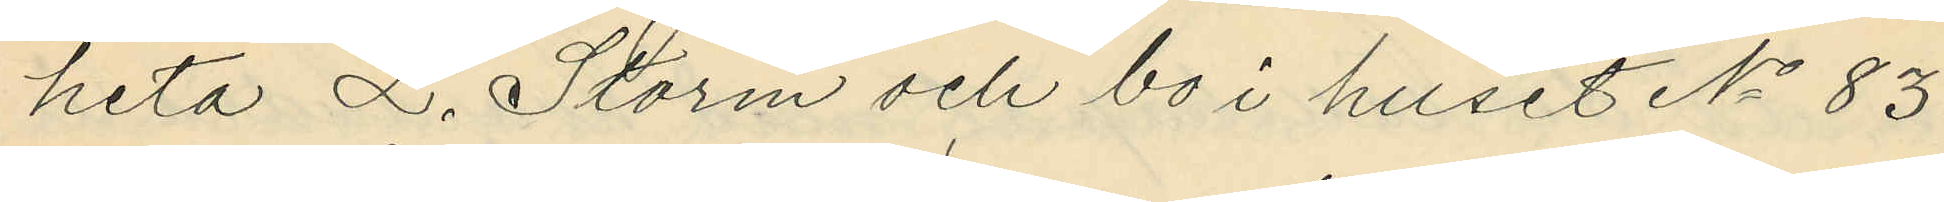heta L. Storm och bo i huset No 83
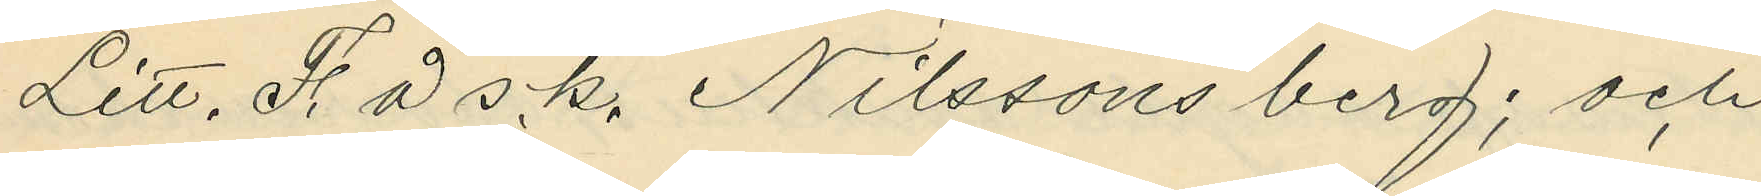Litt. F. å s.k. Nilssons berg; och
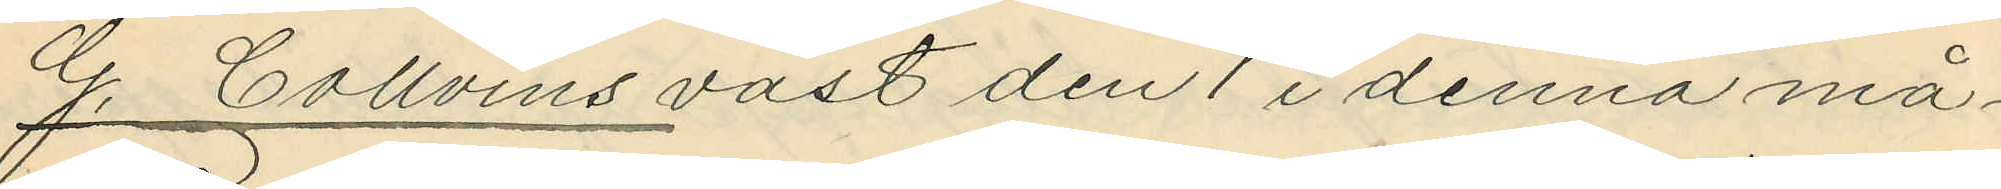G. Collvins väst den 1 i denna må¬
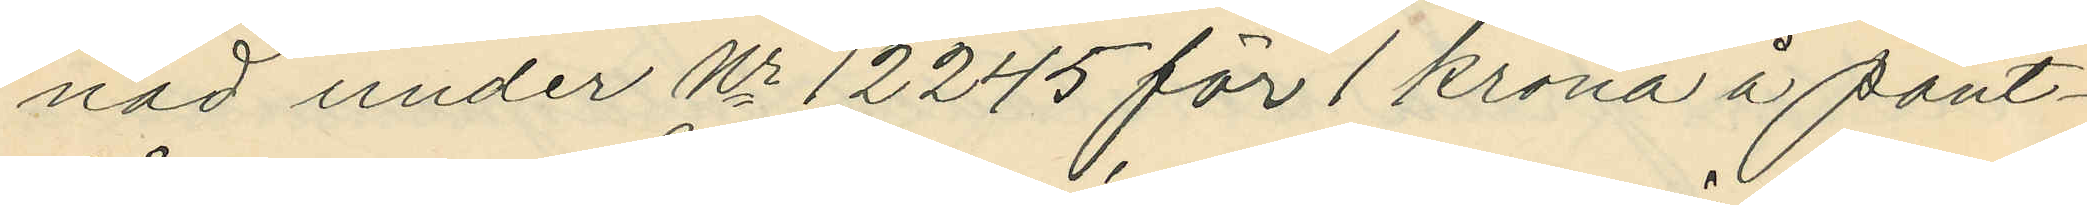nad under Nr 12245 för 1 krona å pant¬
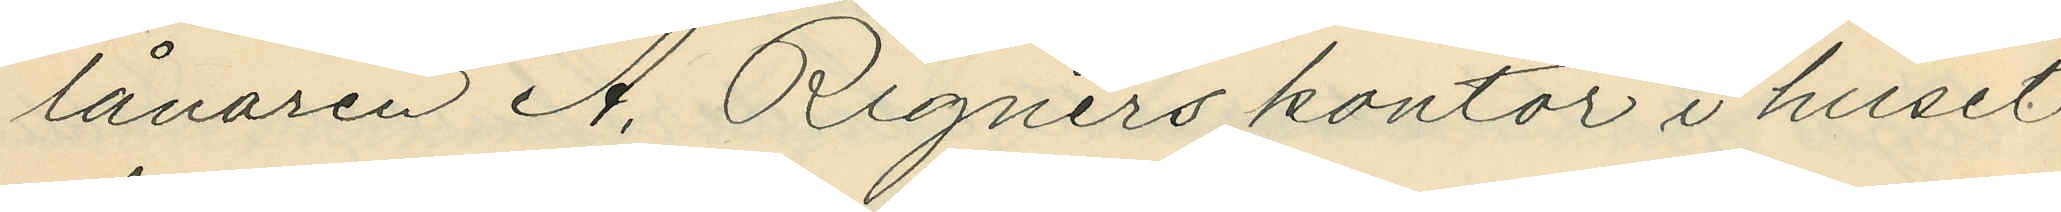lånaren A. Rignérs kontor i huset
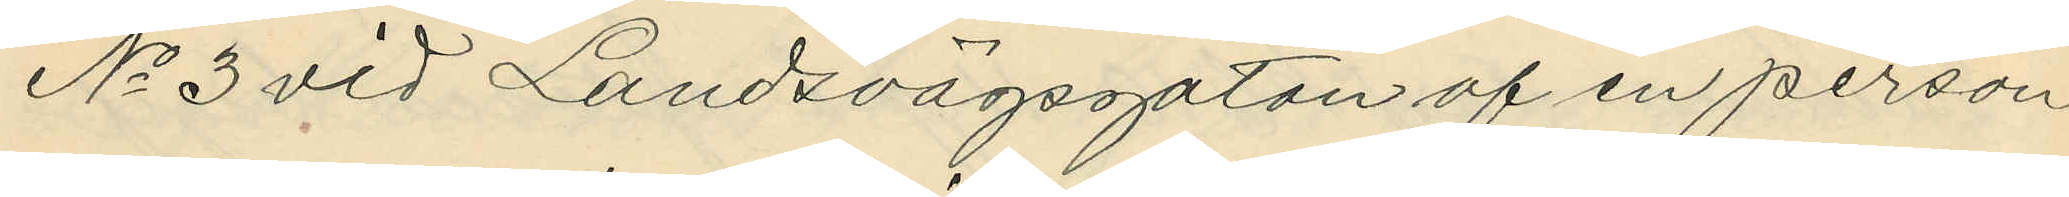No 3 vid Landsvägsgatan af en person
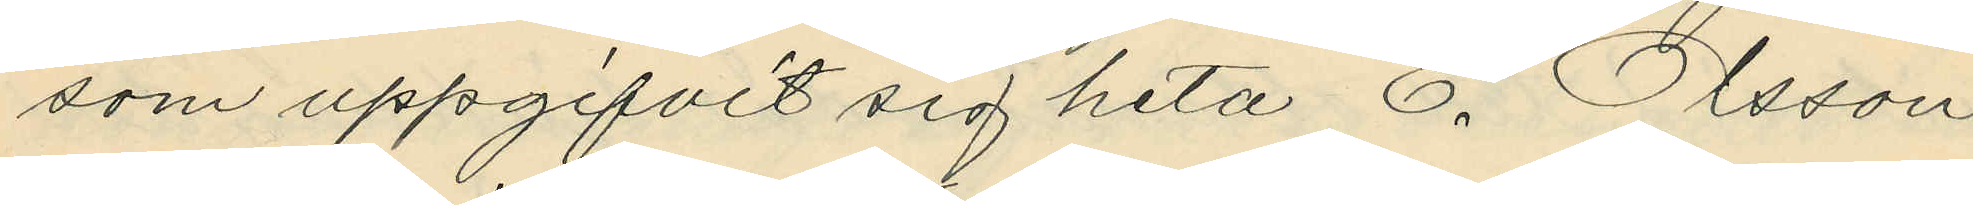som uppgifvit sig heta E. Olsson
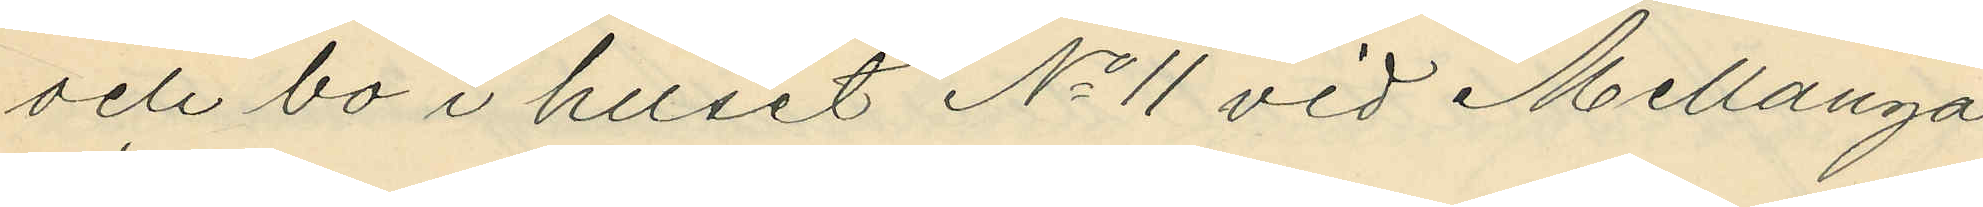och bo i huset No 11 vid Mellanga¬
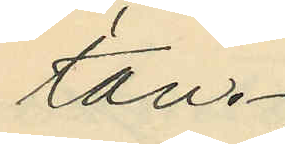tan.
